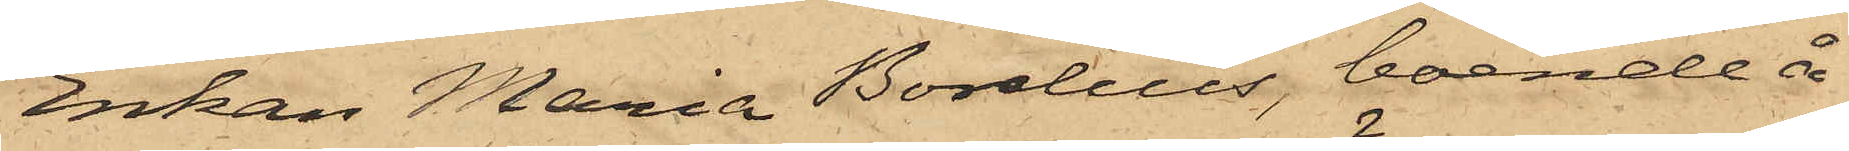Enkan Maria Borelius, boende å
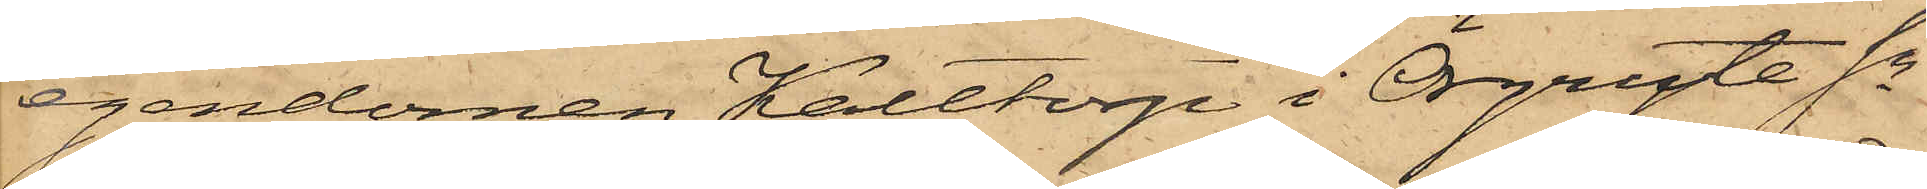egendomen Kalltorp i Örgryte Sn
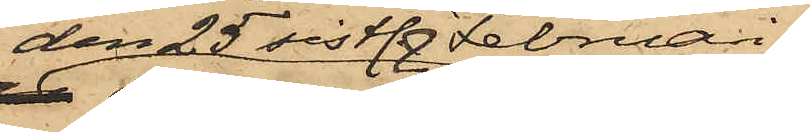den 25 sistl. Februari
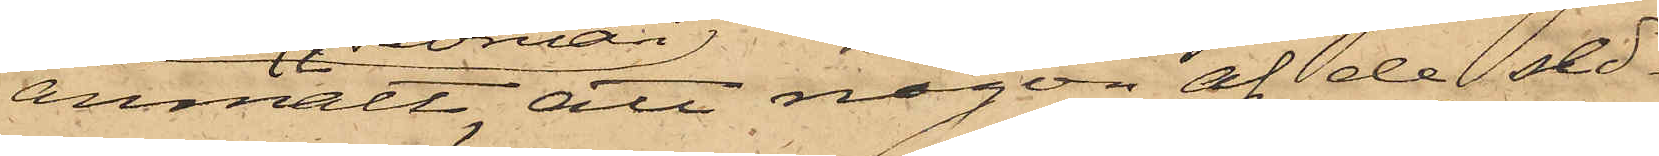anmält, att någon af de sed¬
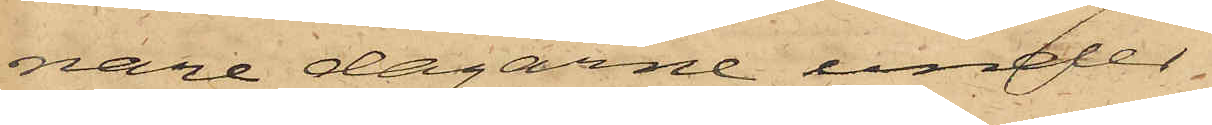nare dagarne under
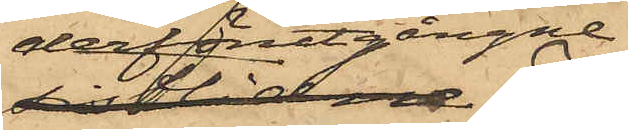derförutgångne
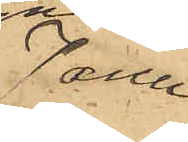Janu¬
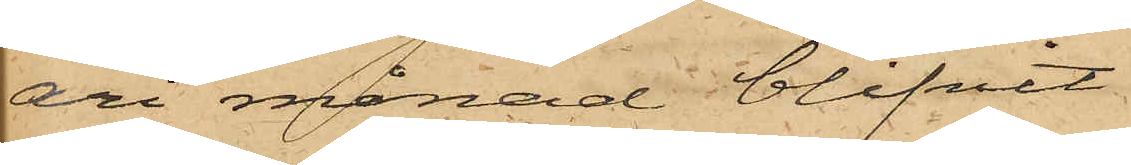ari månad blifvit
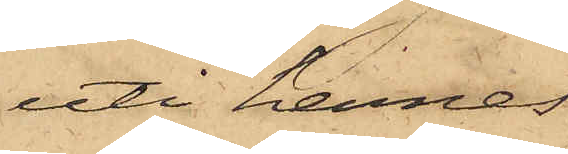uti hennes
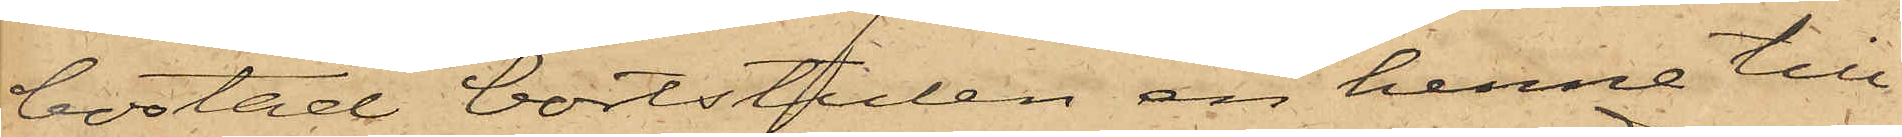bostad bortstulen en henne till¬
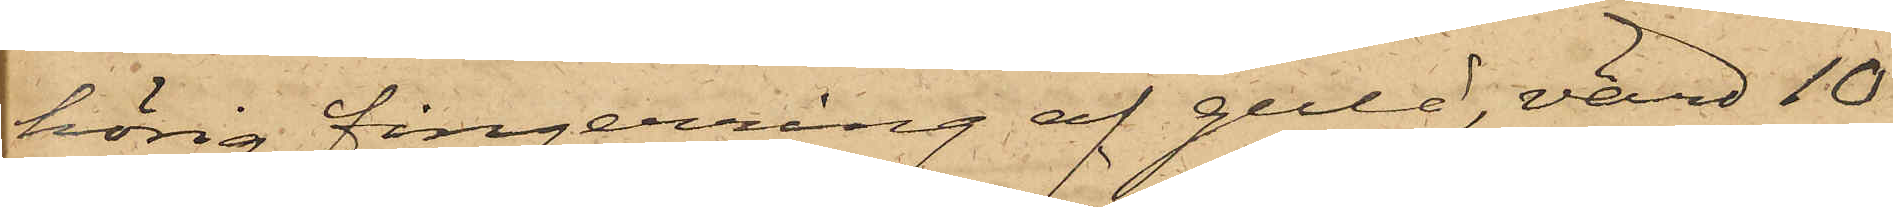hörig fingerring af guld, värd 10
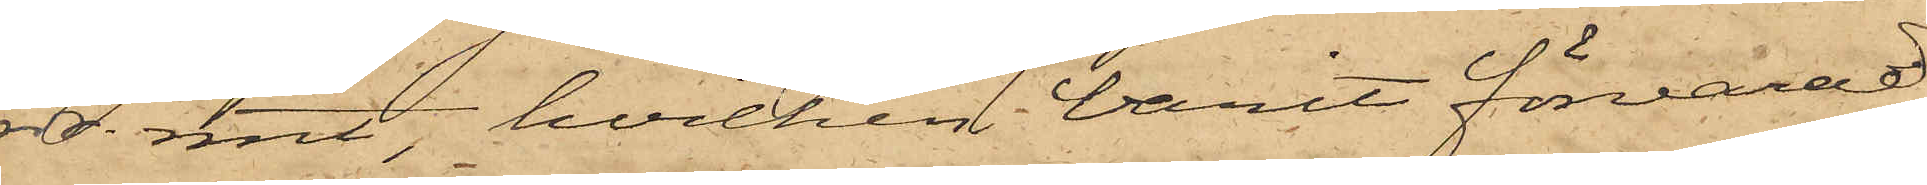rdr. rmt, hvilken varit förvarad
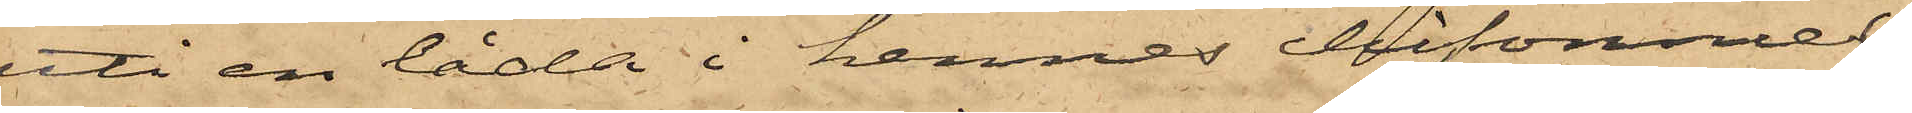uti en låda i hennes chiffonnier,
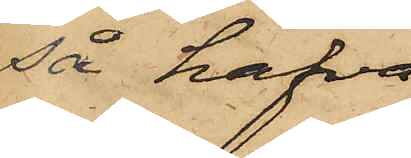så hafva
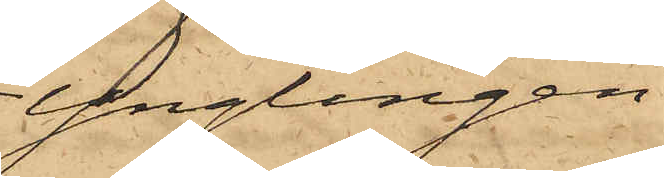Ynglingen
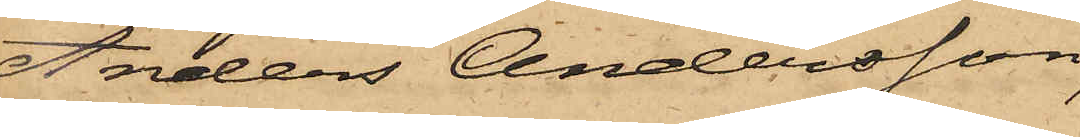Anders Andersson,
